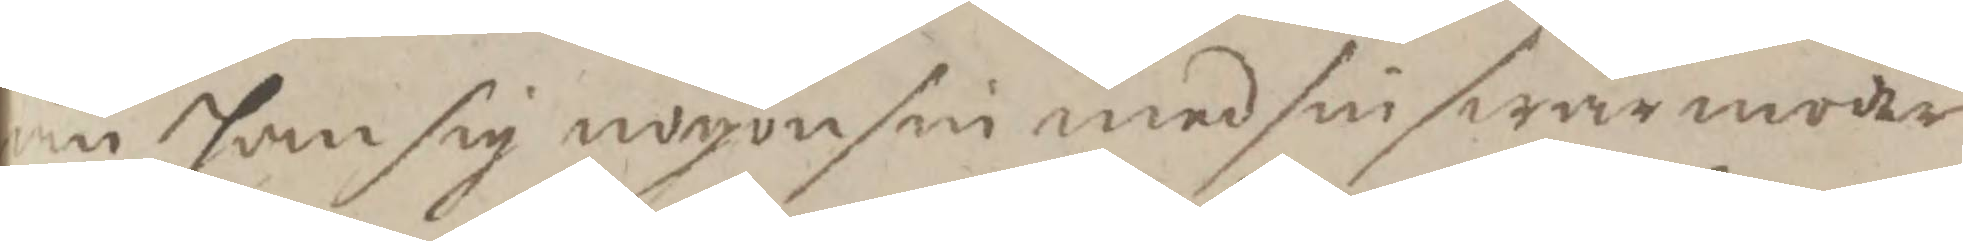än han sig nogon sin med sin swärmoder
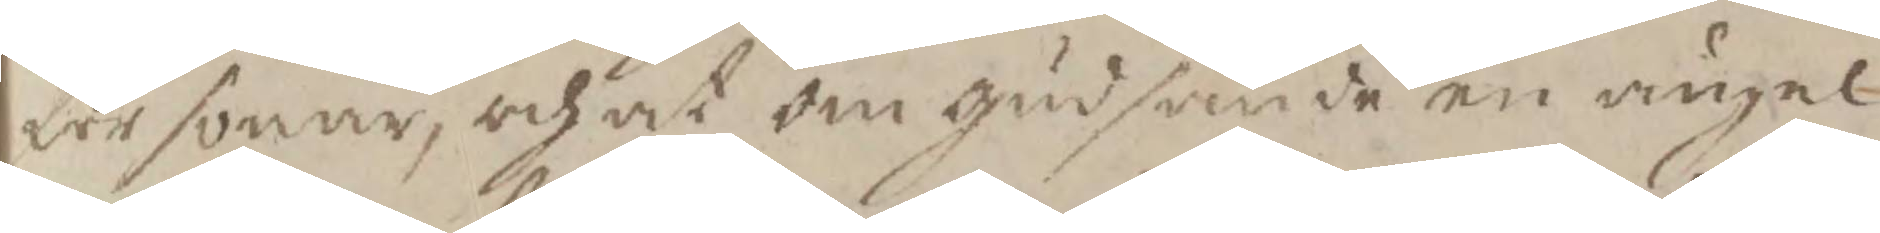försonar, och at om gud sände en ängek
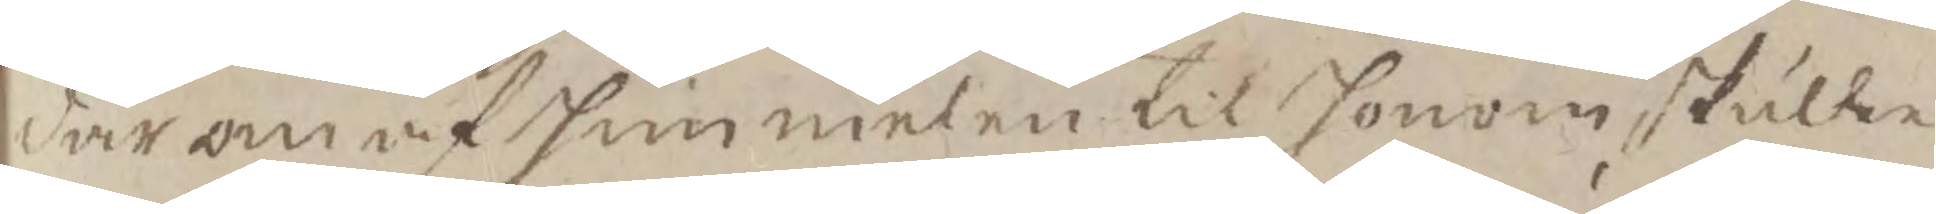där om af himmelen til honom skulle
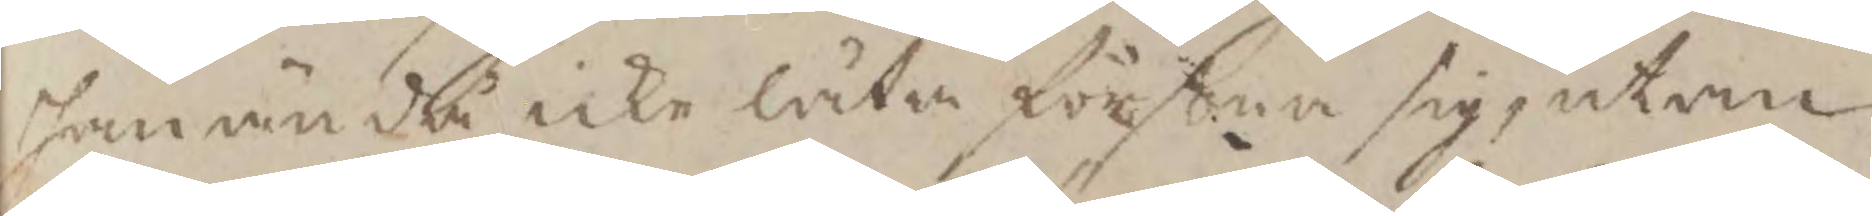han ändå icke låta försona sig, utan
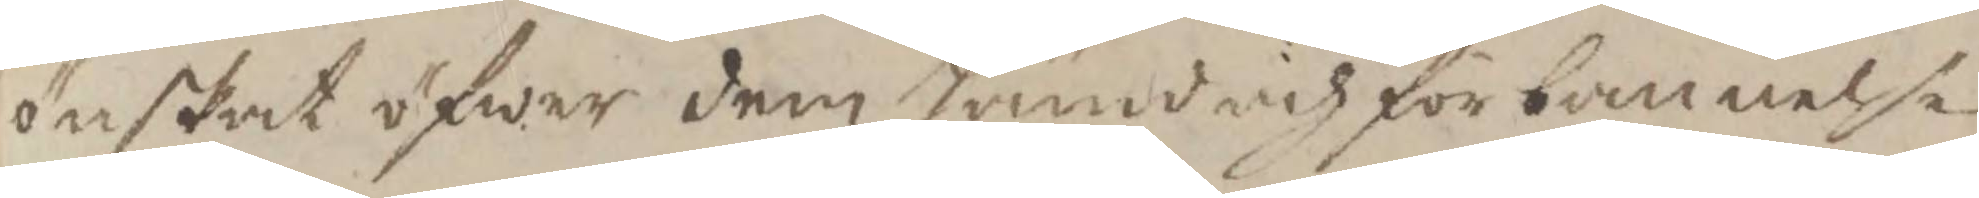önskat öfwer dem hämd och förbannelse
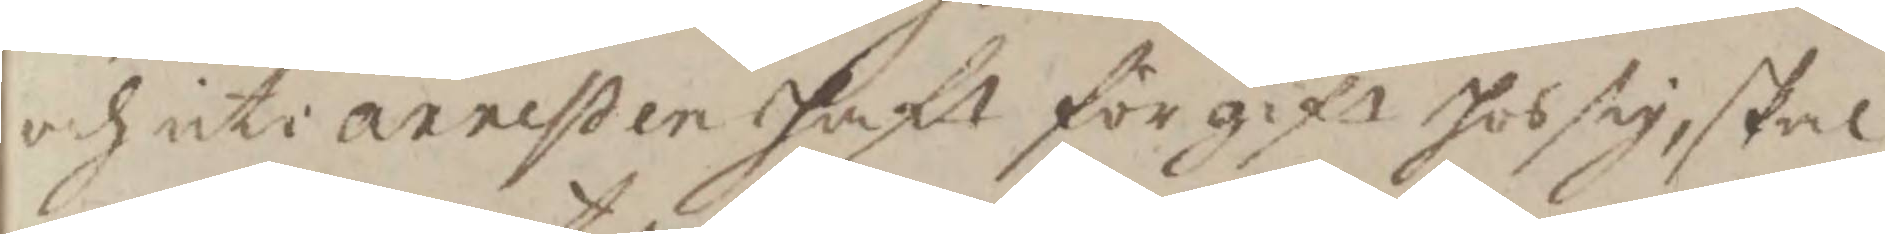och uti arresten haft förgift hos sig, skal
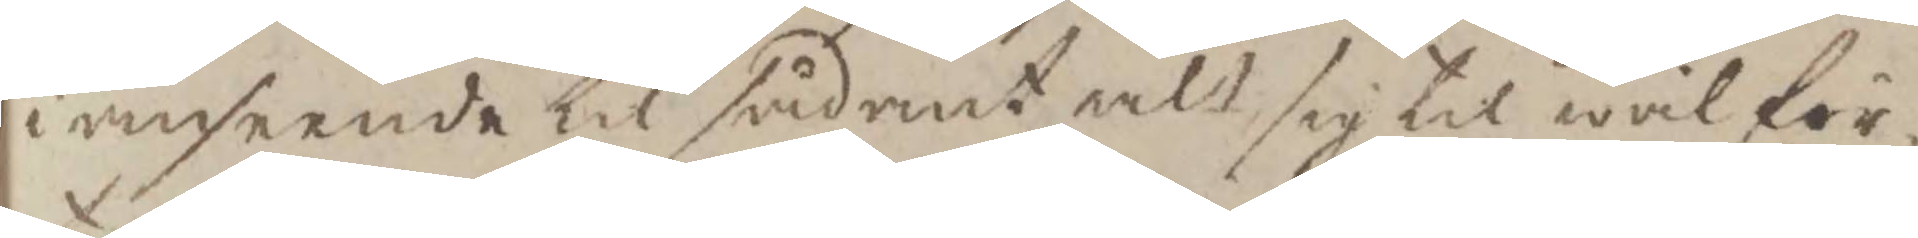i anseende til sådant alt sig til wälför¬
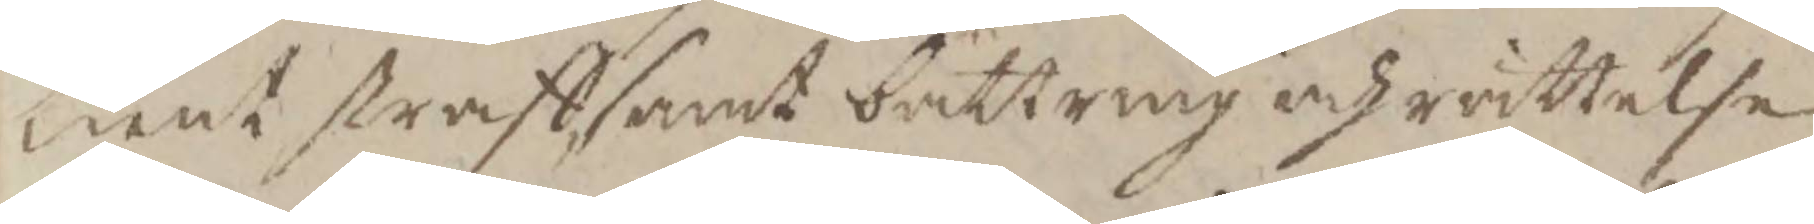tient straff samt bättring och rättelse
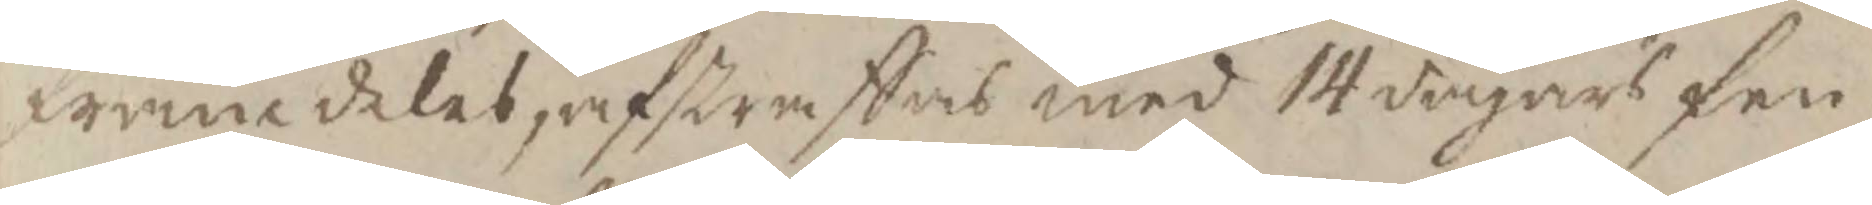framdeles, afstraffas med 14 dagars fen
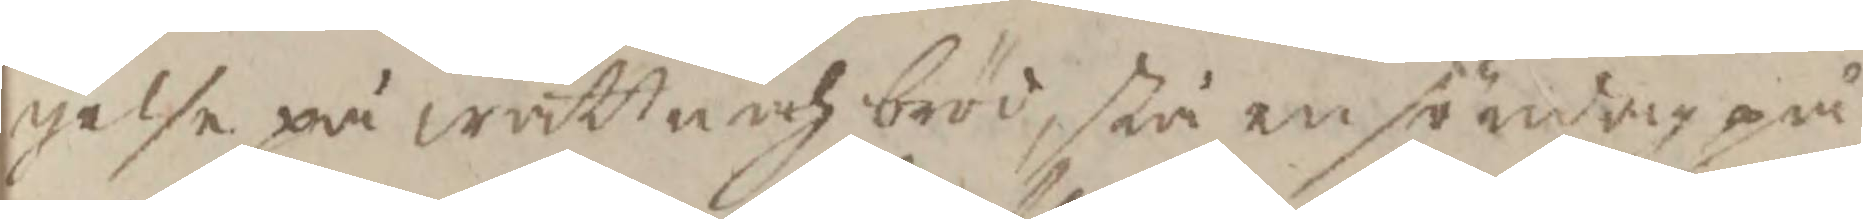gelse på wattn och bröd, stå en söndag på
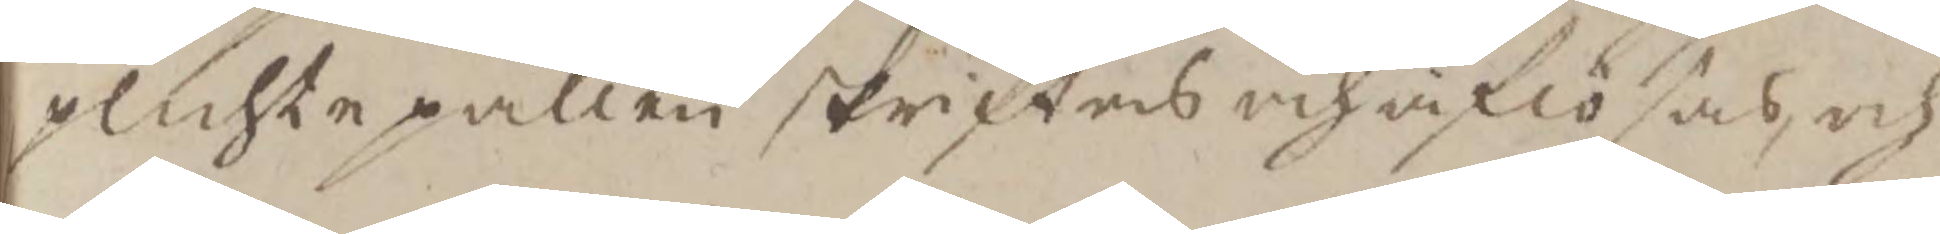plichtpallen skriftas och aflösas, och
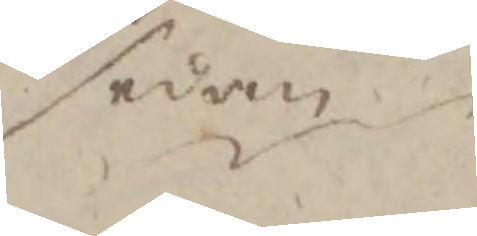sedan
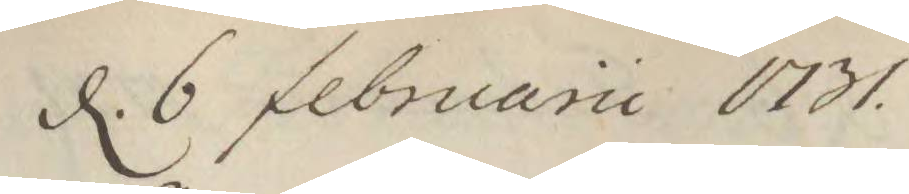d. 6 februarii 1731.
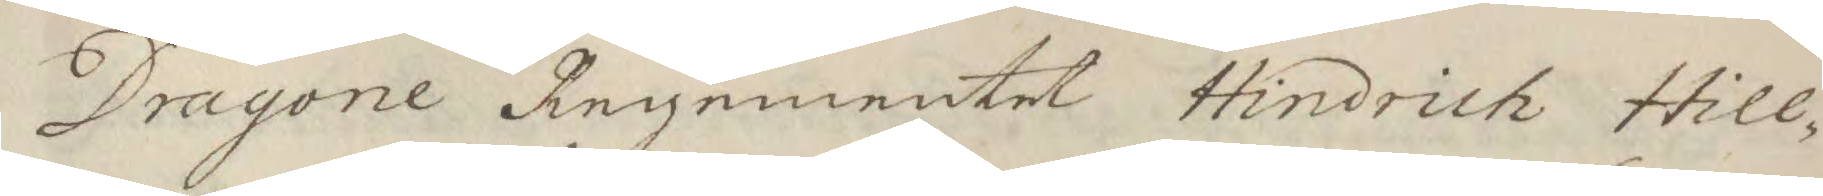Dragone Regementet Hindrich Hill¬
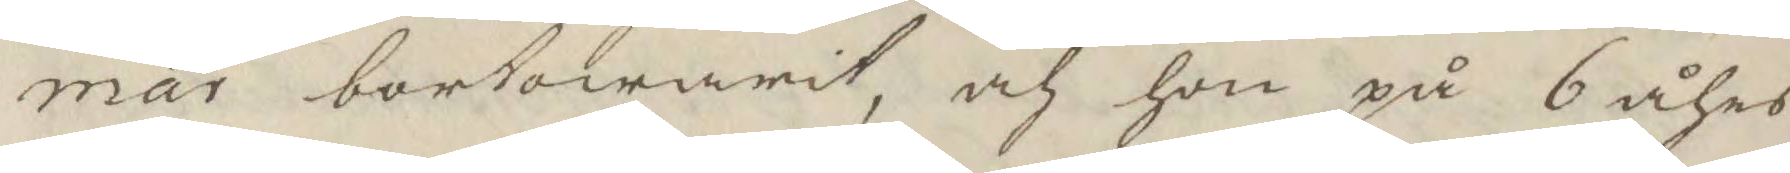mar bortowarit, och han på 6 åhrs
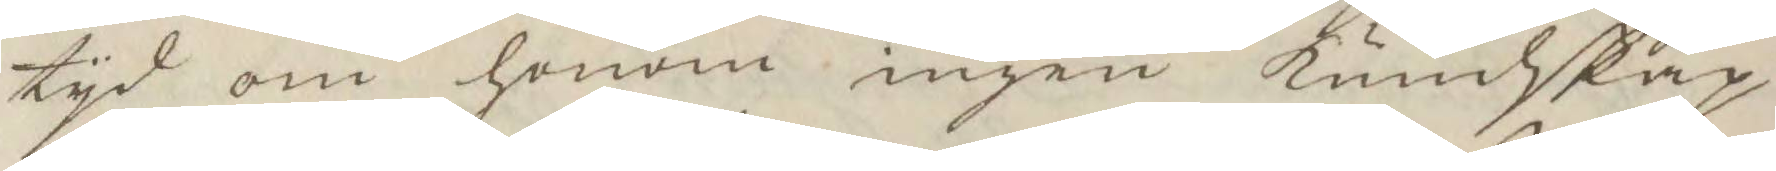tyd om honom ingen kundskap
